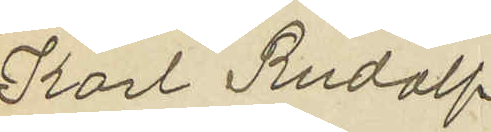Karl Rudolf
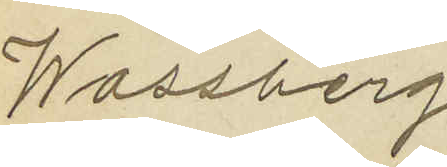Wassberg
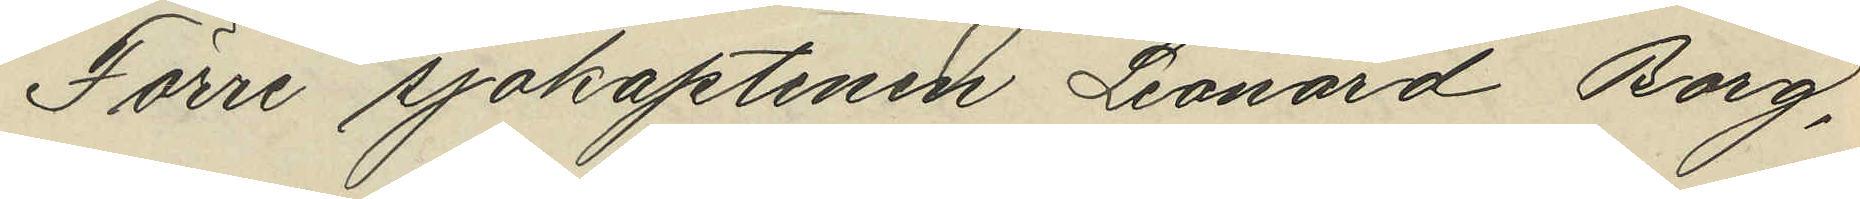Förre sjökaptenen Leonard Borg,
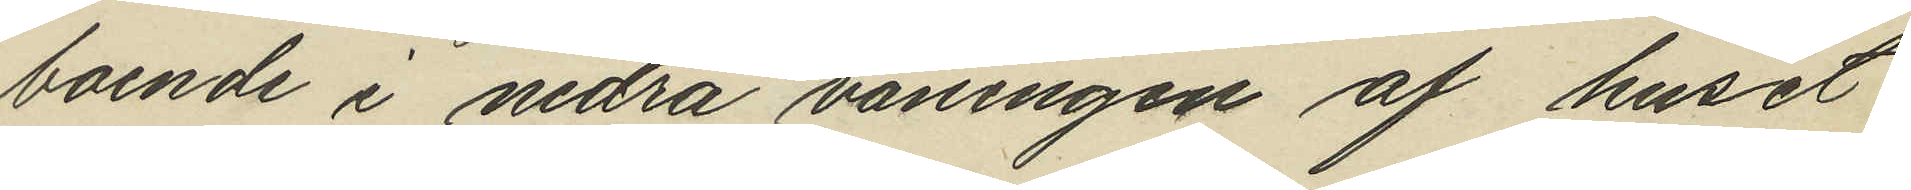boende i nedra våningen af huset
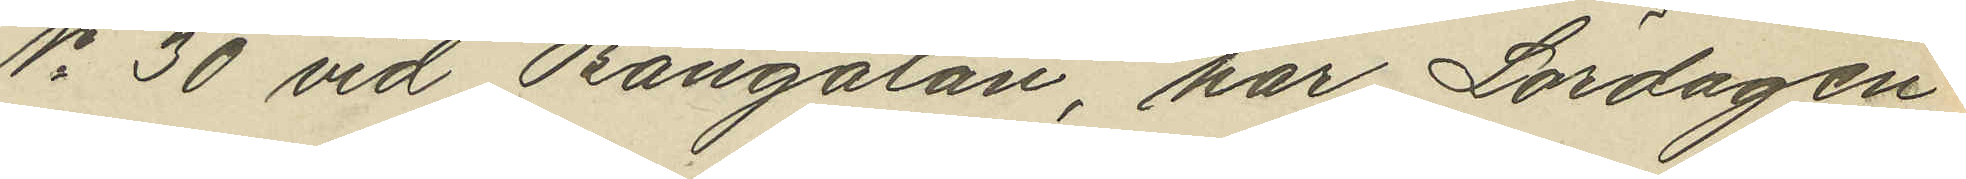No 30 vid Bangatan, har Lördagen
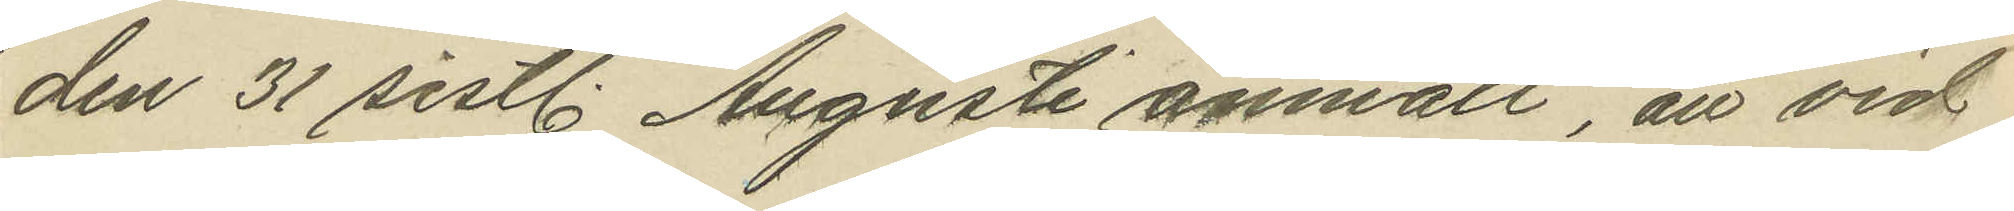den 31 sistl. Augusti anmält, att vid
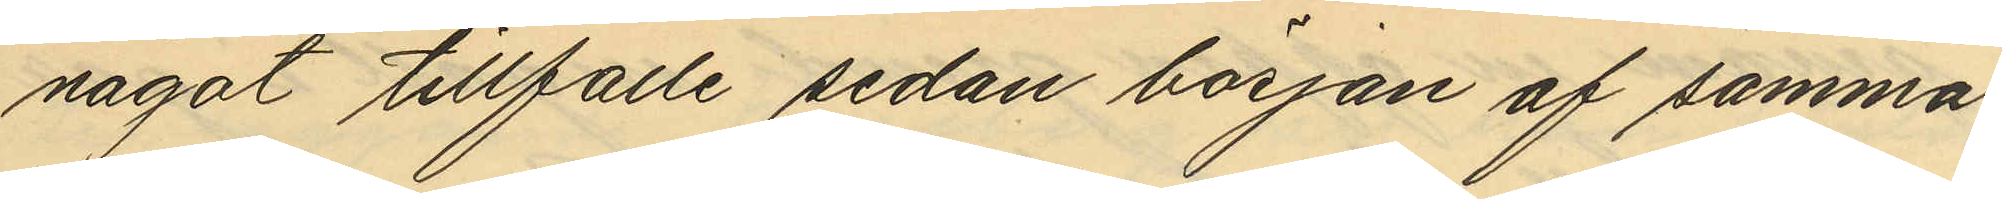något tillfälle sedan början af samma
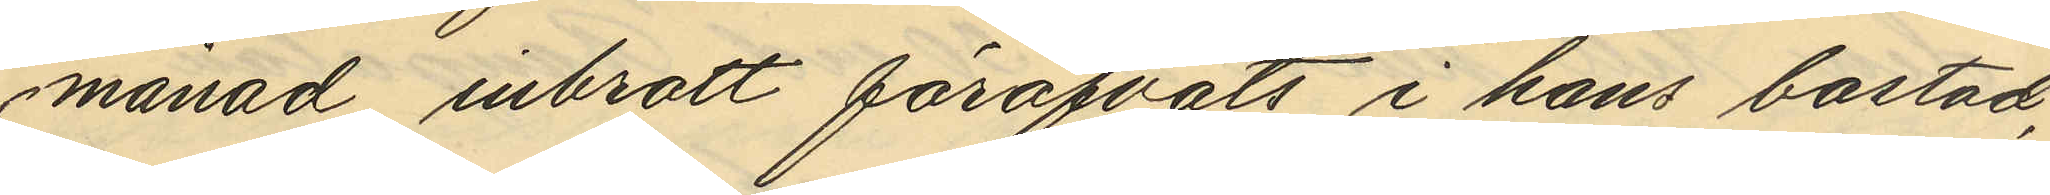månad inbrott föröfvats i hans bostad,
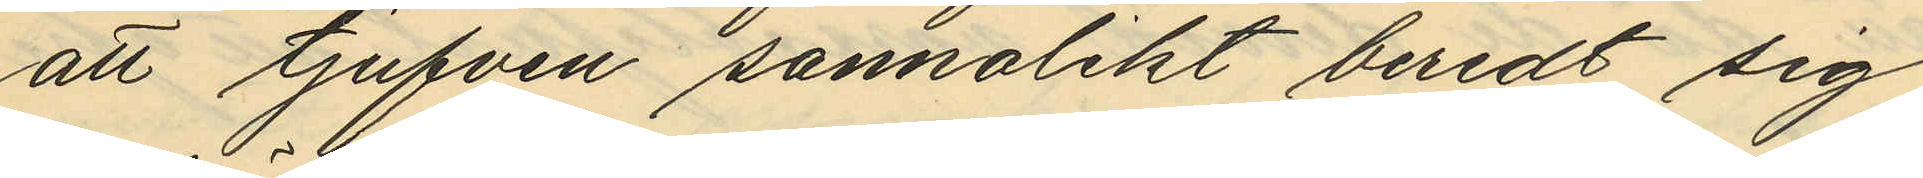att tjufven sannolikt beredt sig
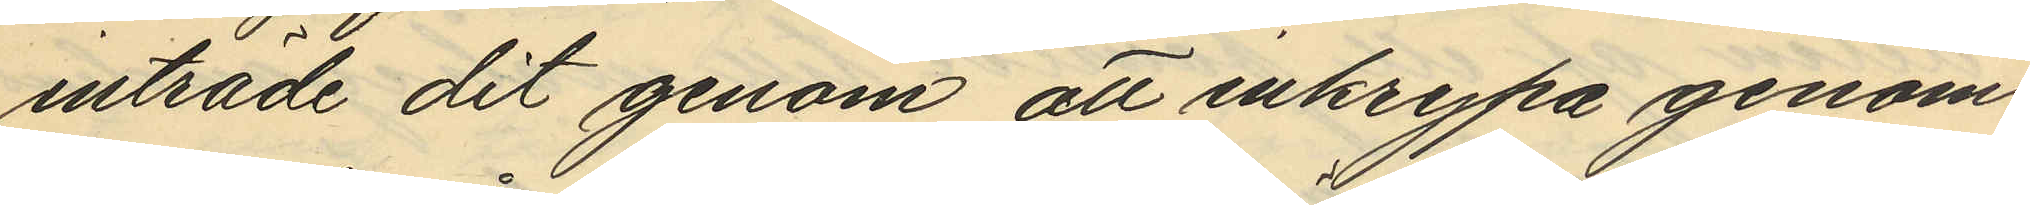inträde dit genom att inkrypa genom
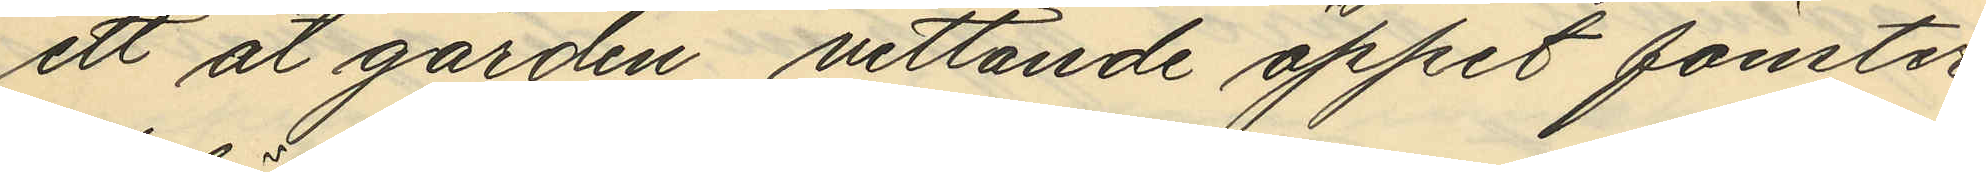ett åt gården vettande öppet fönster
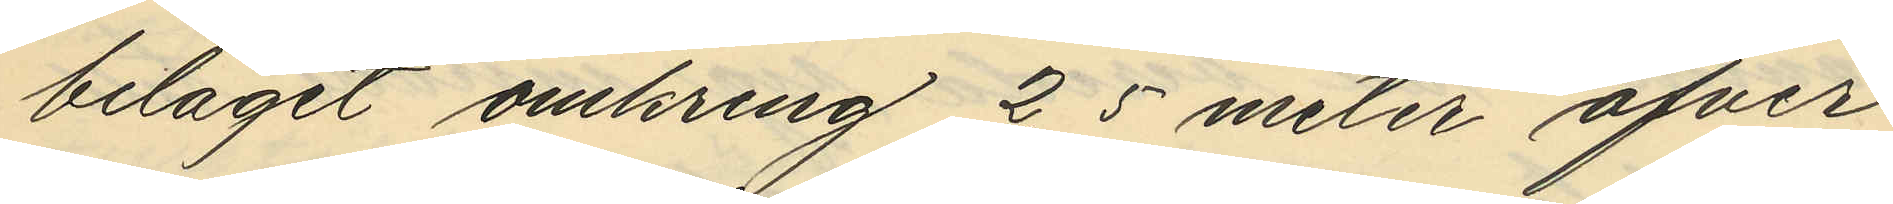beläget omkring 2,5 meter öfver
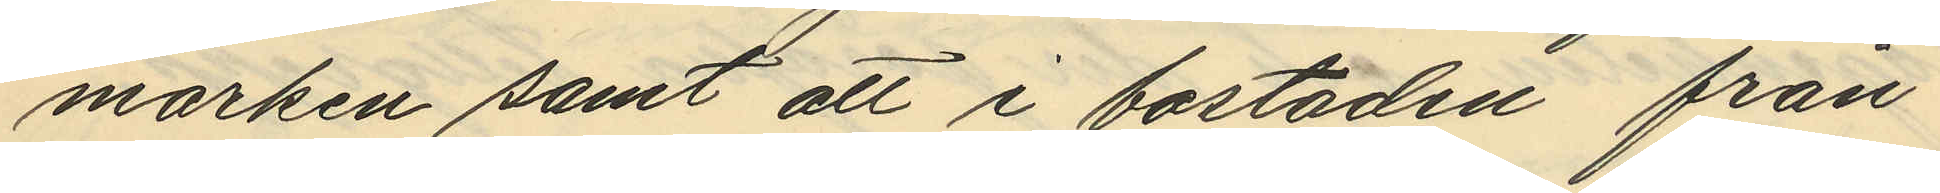marken samt att i bostaden från
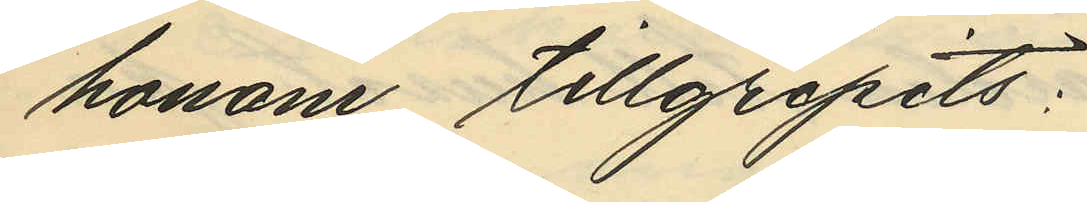honom tillgripits:
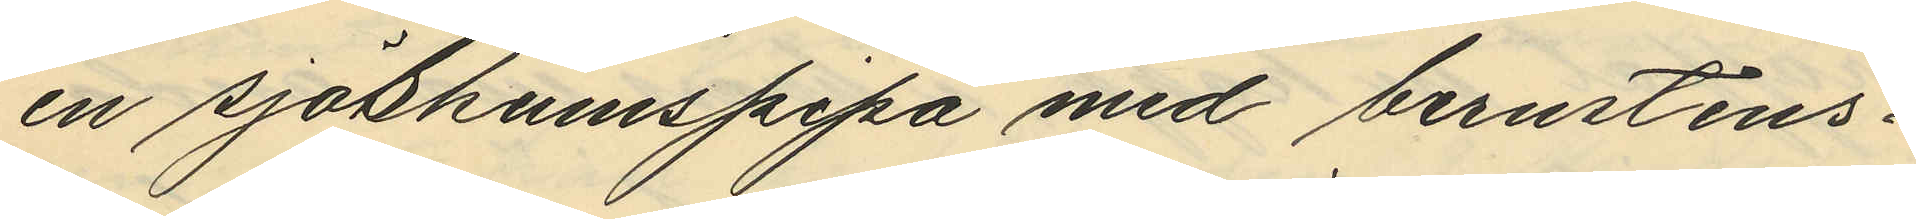en sjöskumspipa med bernstens¬
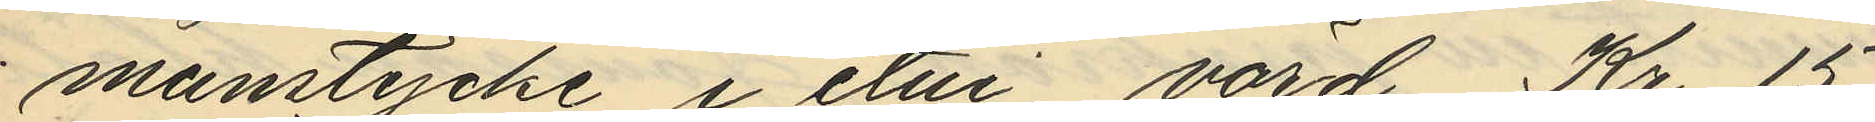munstycke i etui, värd Kr. 15
